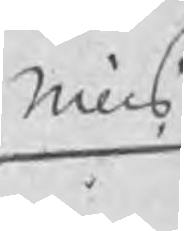Nills
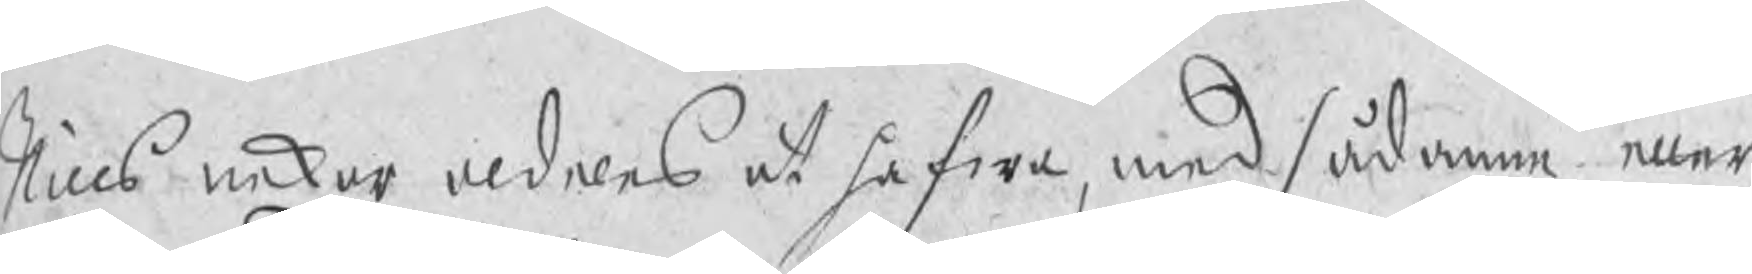Nills nekar aldeles at hafwa, med sådane eller
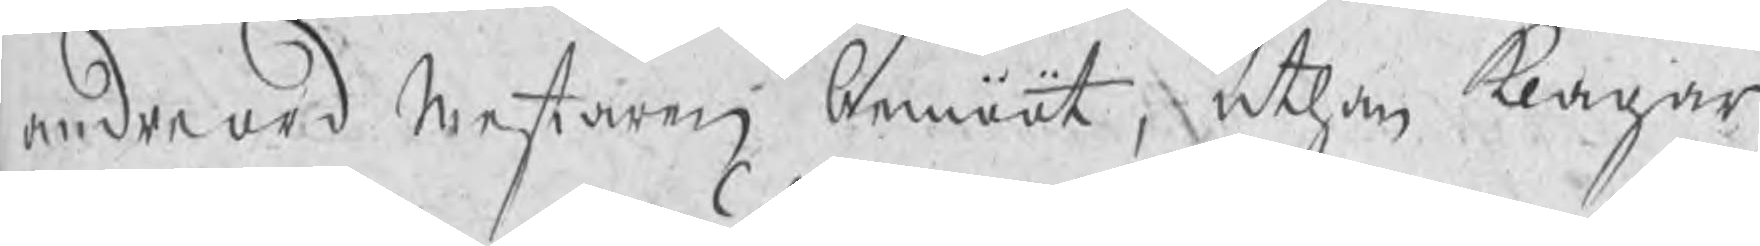andre ord Mestaren bemööt, uthan klagar
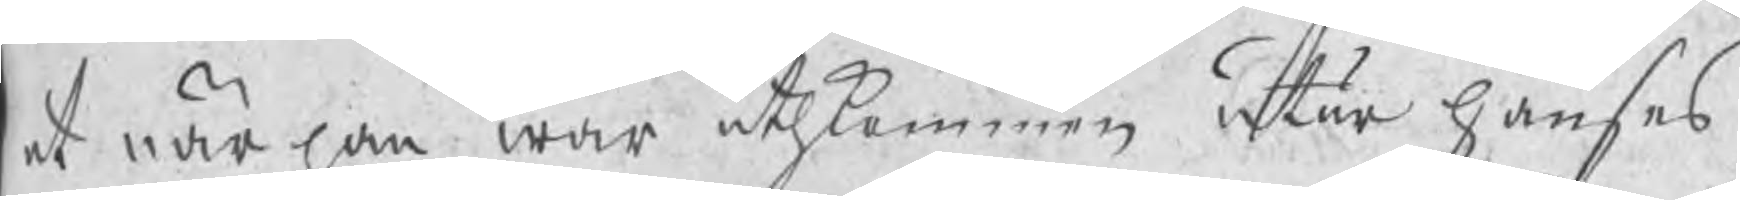at när han war uthkommen utur Hanses
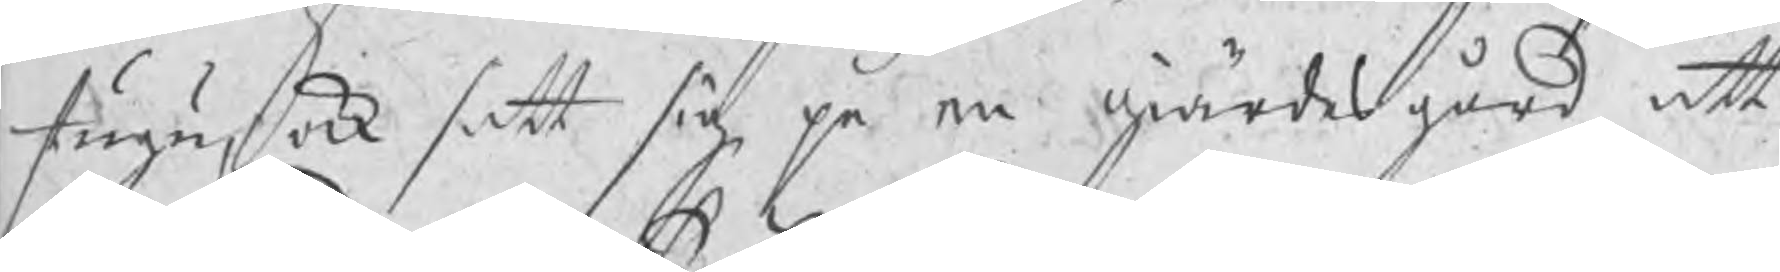stugu, ock satt sig på en giärdesgård att
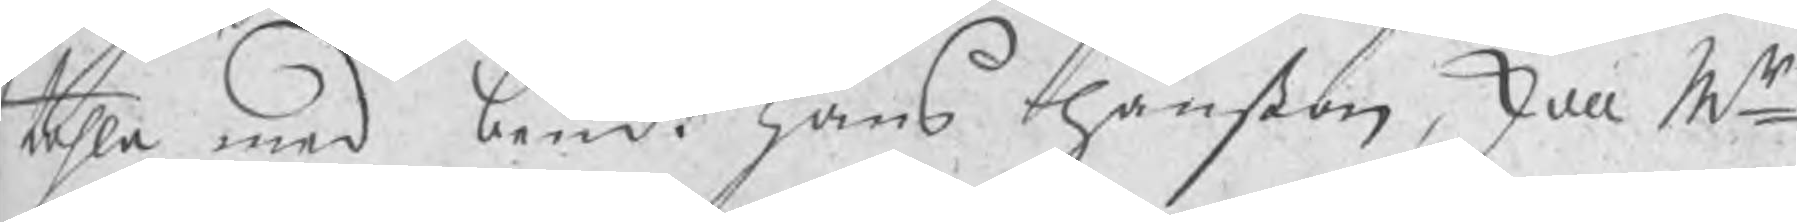tahla med bemt Hans Hanßon, skall Mr
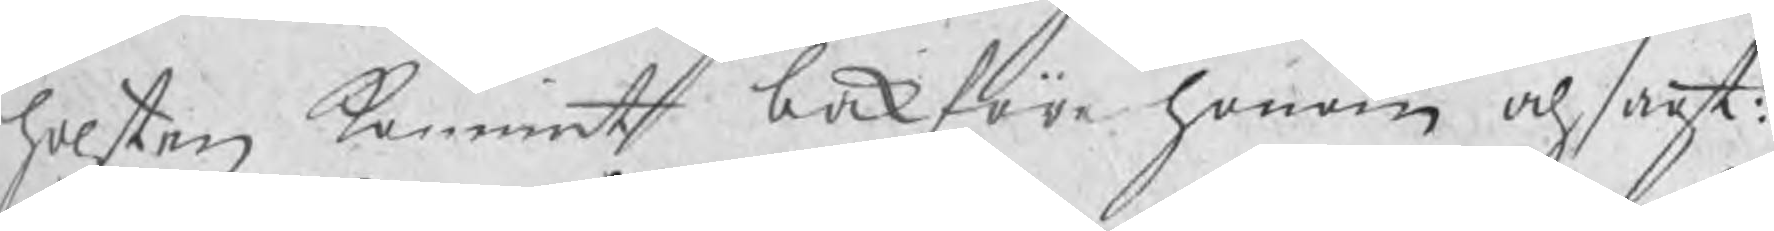holsten kommit bakföre honom och sagt:
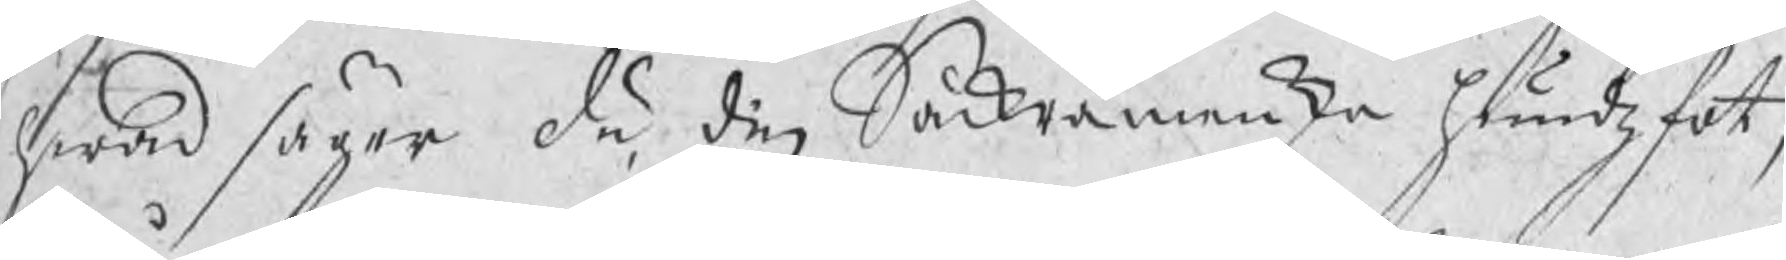hwad säger du, din Sackramenska hundzfot,
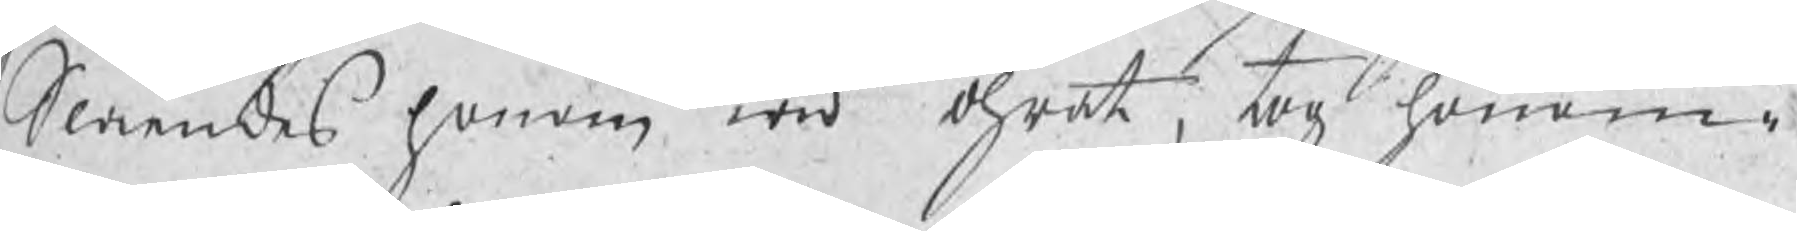Slåendes honom wid öhrat, tog honom i
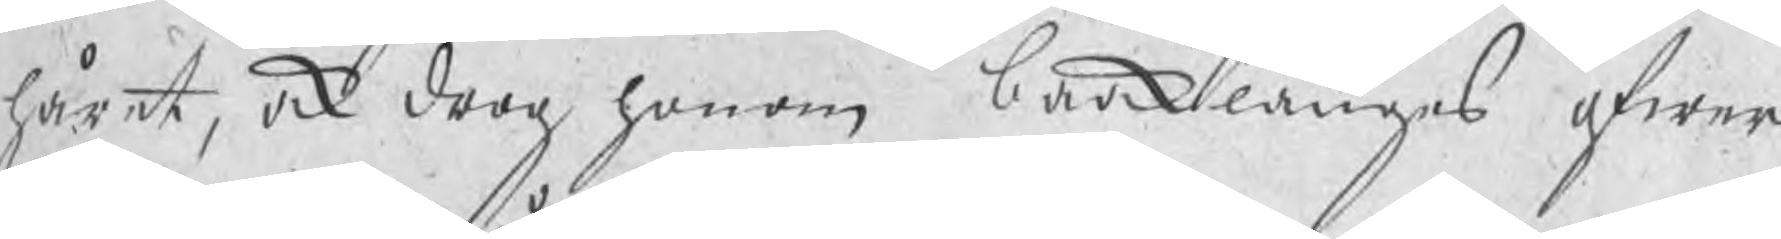håret, ock drog honom baaklänges öfwer
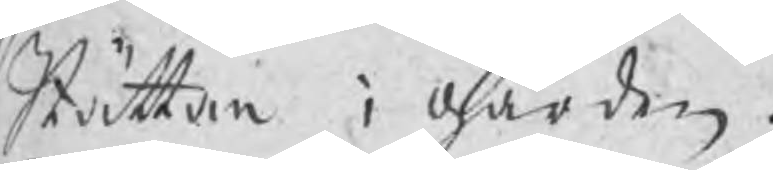Stättan i gården.
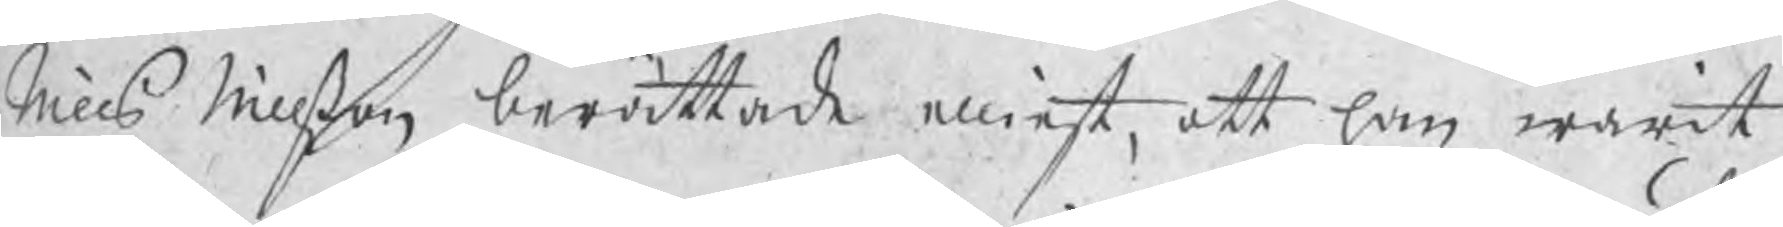Nills Nillßon berättade elliest, att han warit
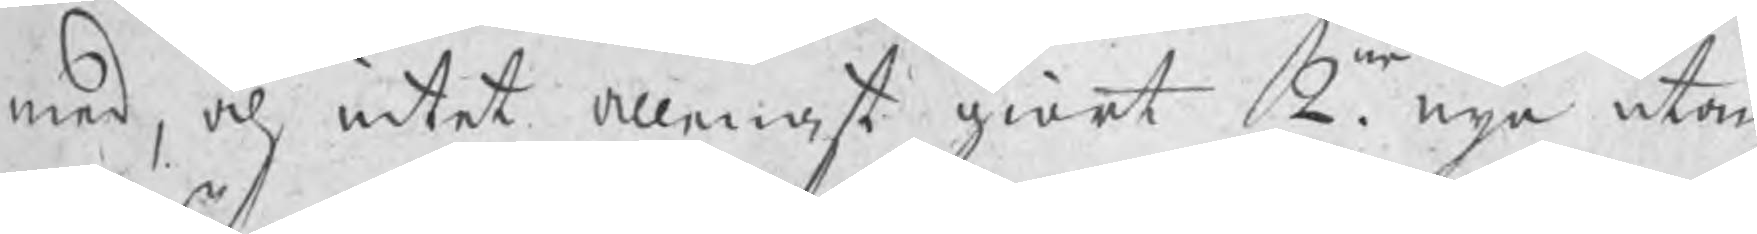med, och intet allenast giort 2ne. nya utan
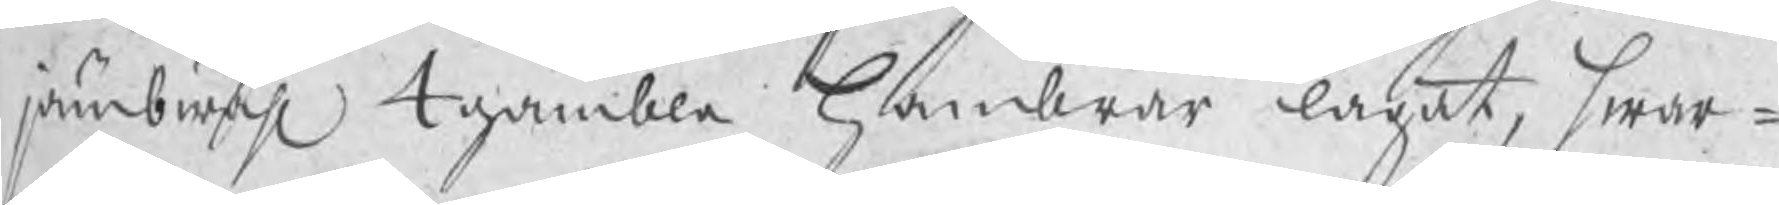jämbwähl 4 gambla Hambrar lagat, hwar¬
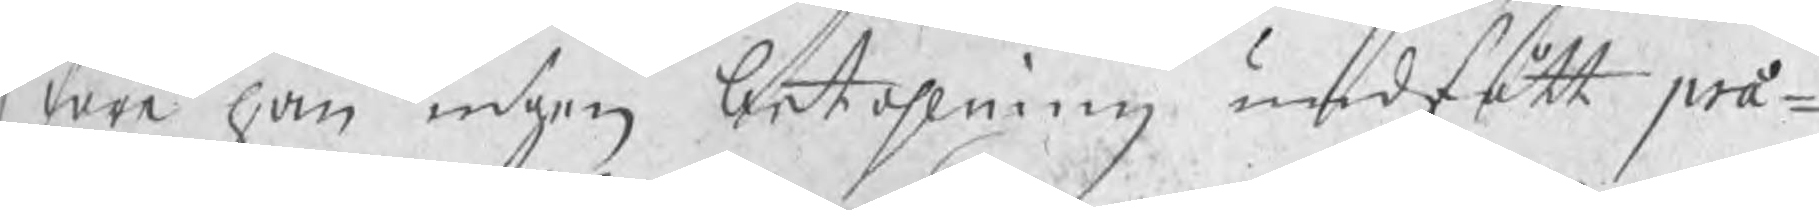före han ingen betahlning undfått præ¬
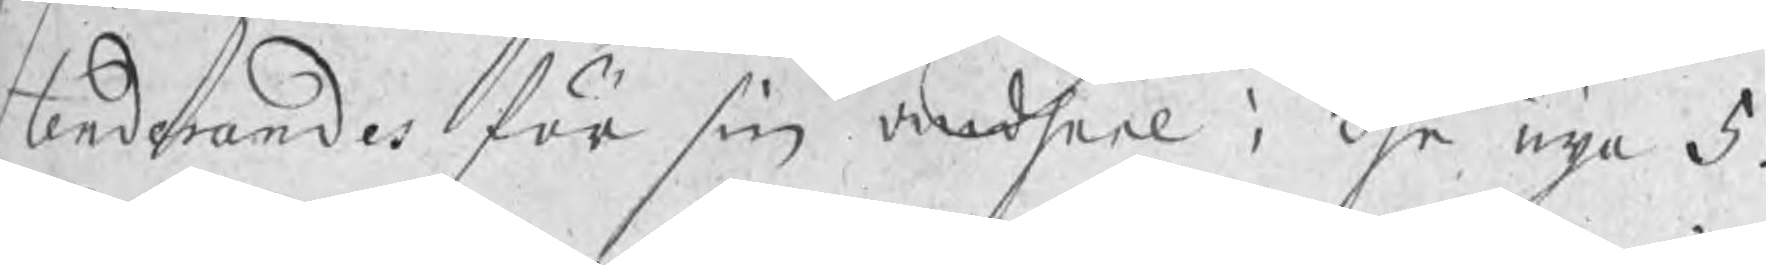tenderandes för sin andheel i dhe nya 5.
